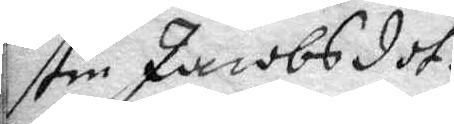stin Jacobsdot¬
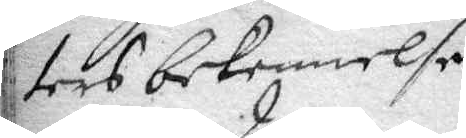ters bekennelse
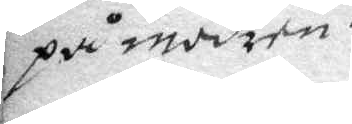på modren.
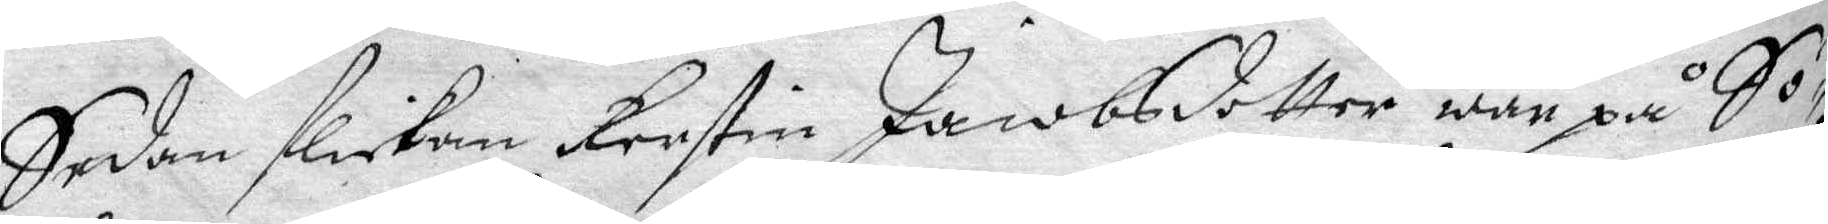Sedan flickan Kerstin Jacobsdotter war på Sö¬
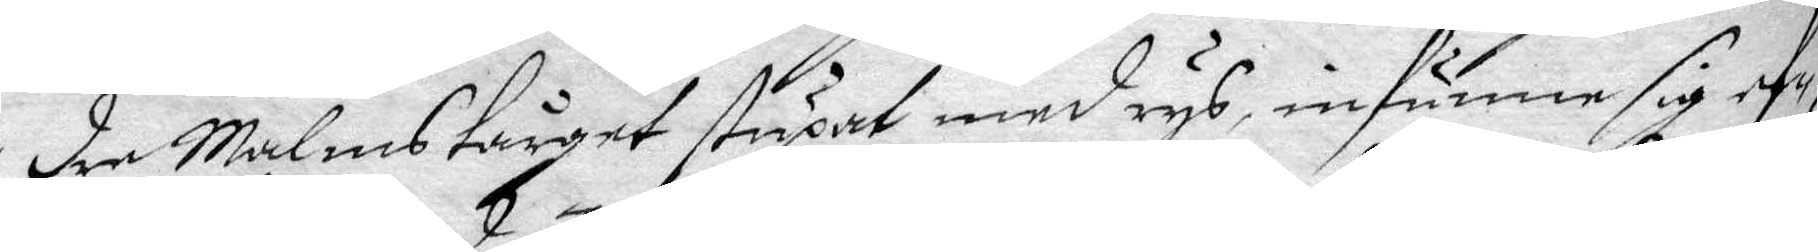dre Malmstårget stupat med rys, infunne sig ef¬
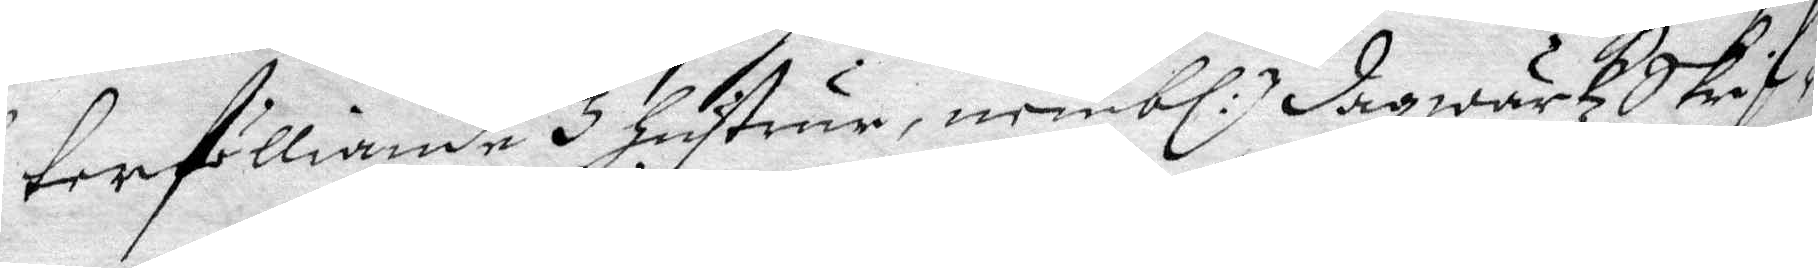terfölliande 3 hustrur, nembl:n dagwärkzSkrif¬
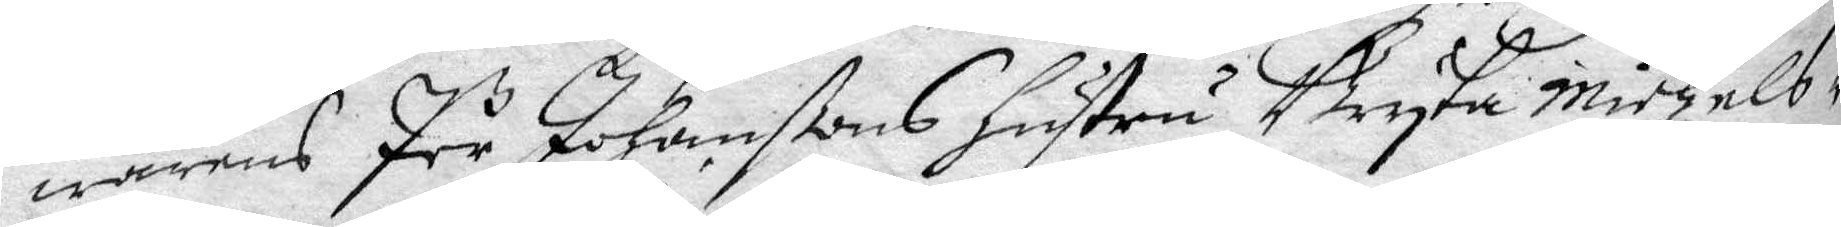warens Pär Johansßons hustru Bryta Michels¬
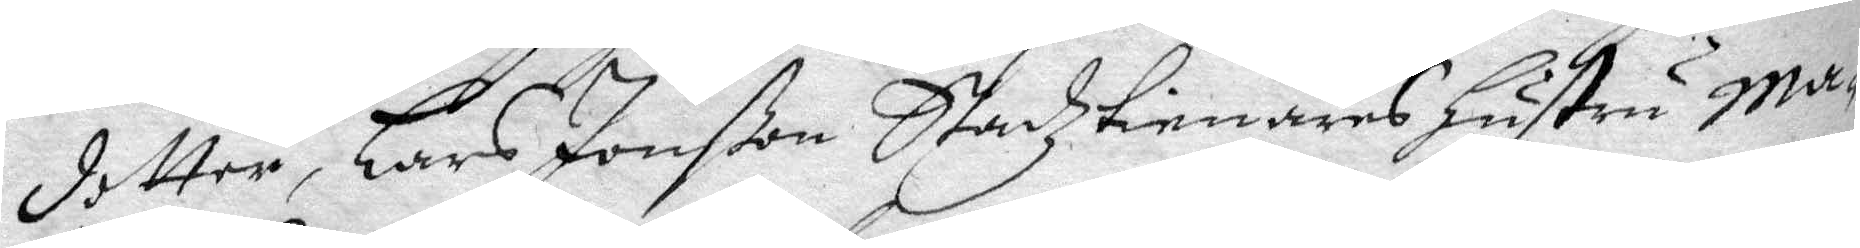dotter, Lars Jonßon Stadztienares hustru Ma¬
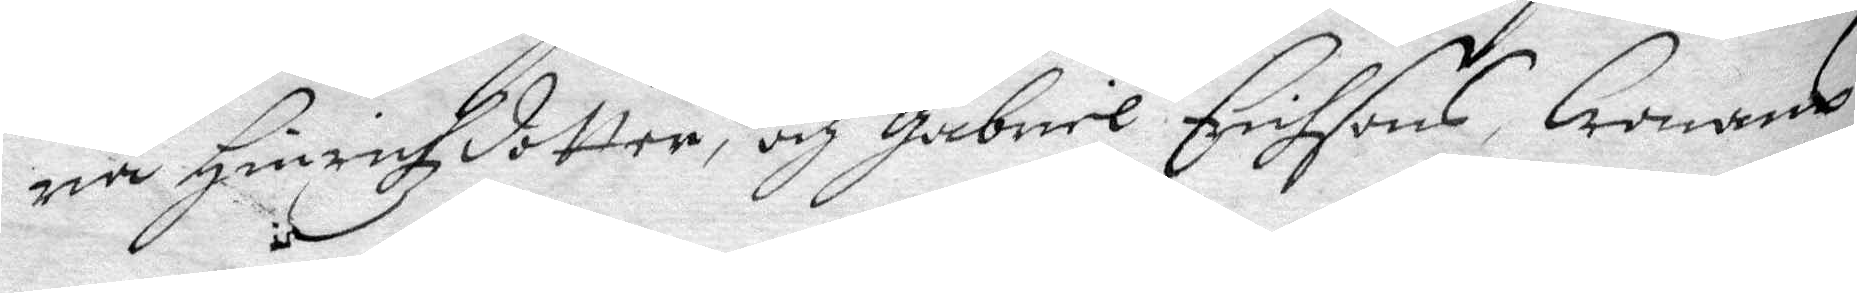ria Hinrichzdotter, och Gagriel Erichsons Cronans
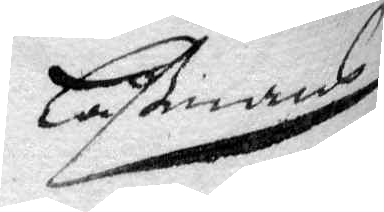Låßmans
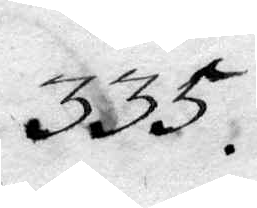335.
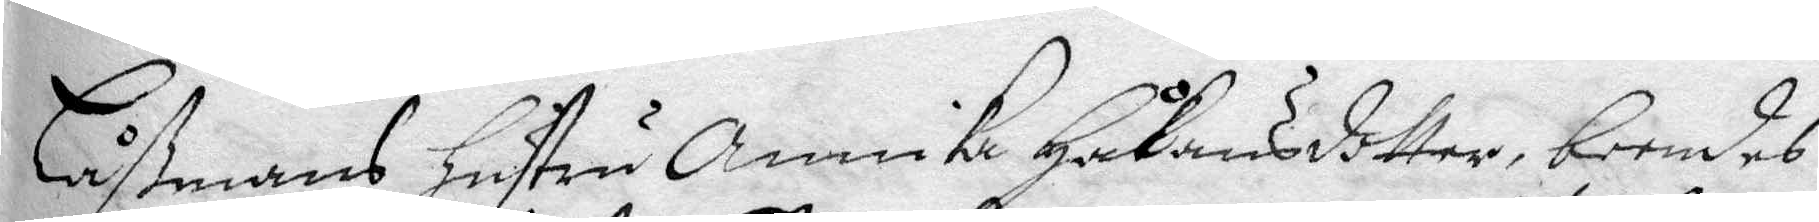Låßmans hustru Annika Håkansdotter, boendes
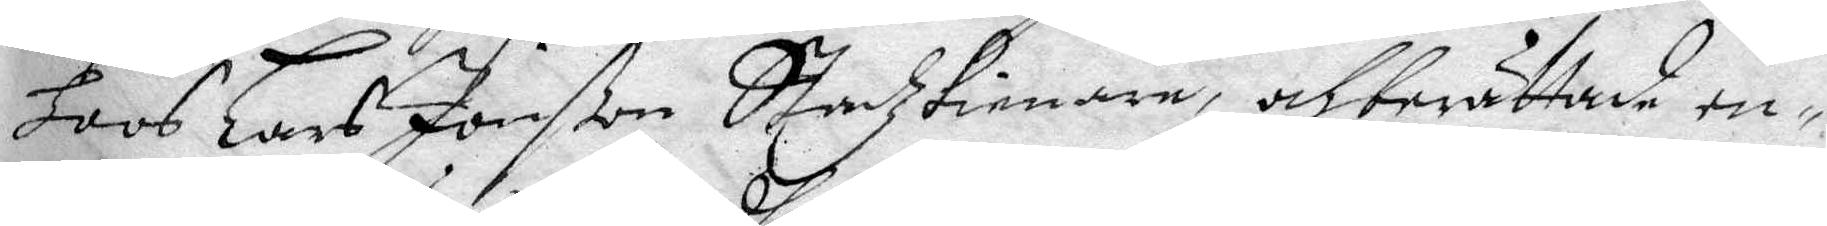hoos Lars Jonßon Stadztienare, och berättade en¬
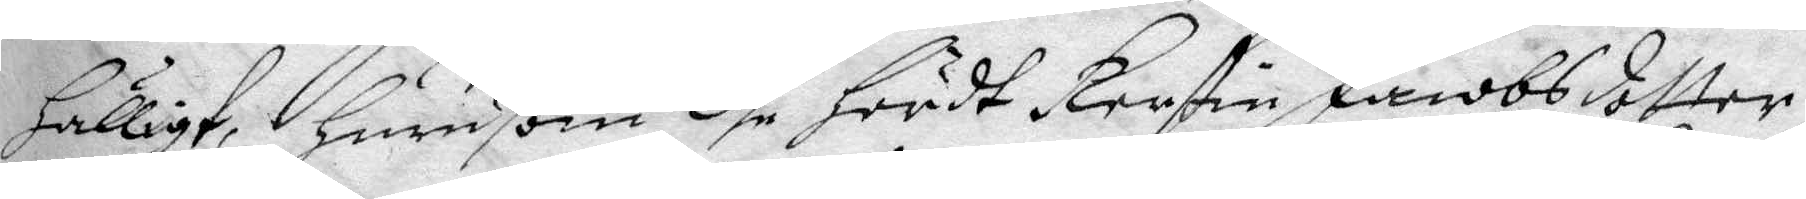hälligt, hurusom dhe hördt Kerstin Jacobsdotter
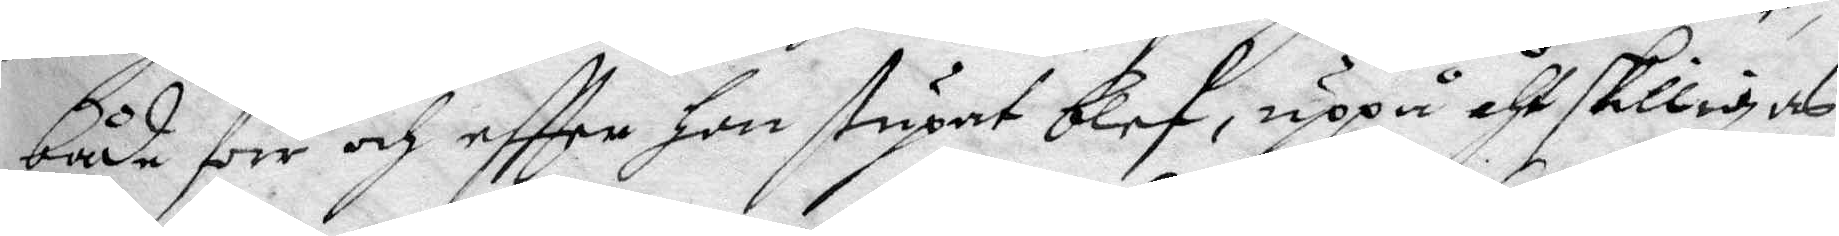både förr och eftter hon stupat blef, uppå åthskilligas
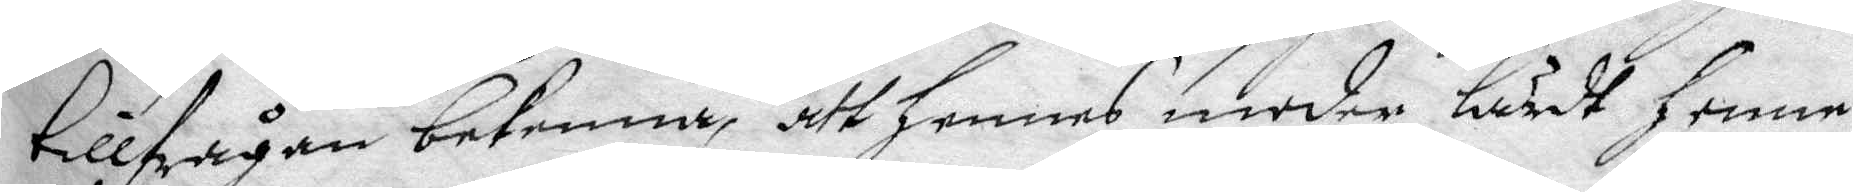tillfrågan bekenna, att hennes moder lärdt henne
